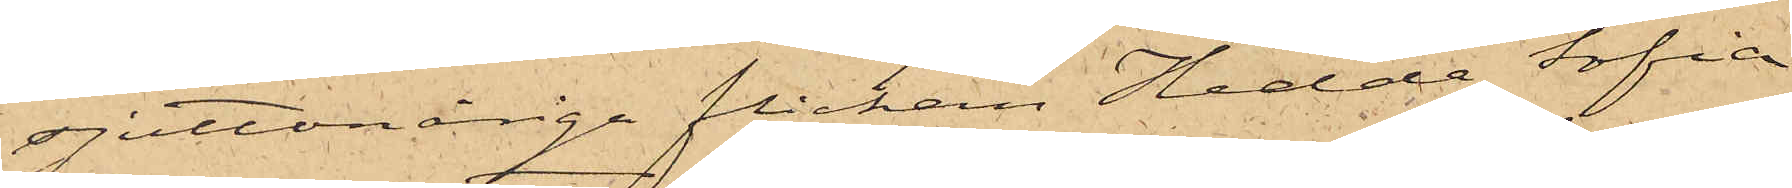sjuttonårige flickan Hedda Sofia
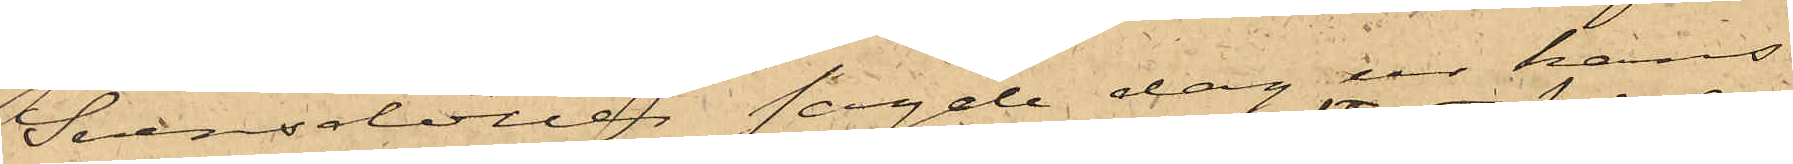Svensdotter sagde dag ur hans
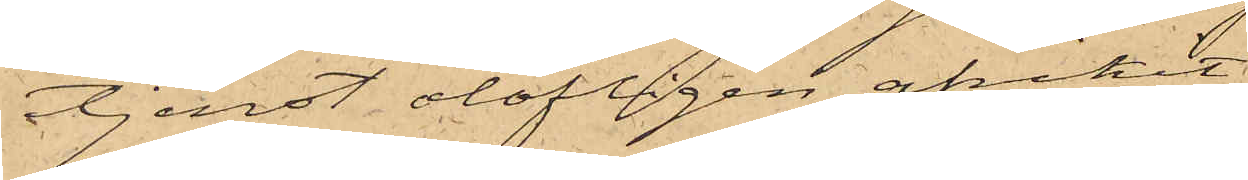tjenst olofligen afvikit
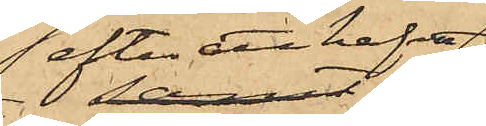efter att hafva
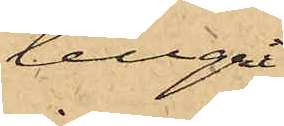tillgri¬
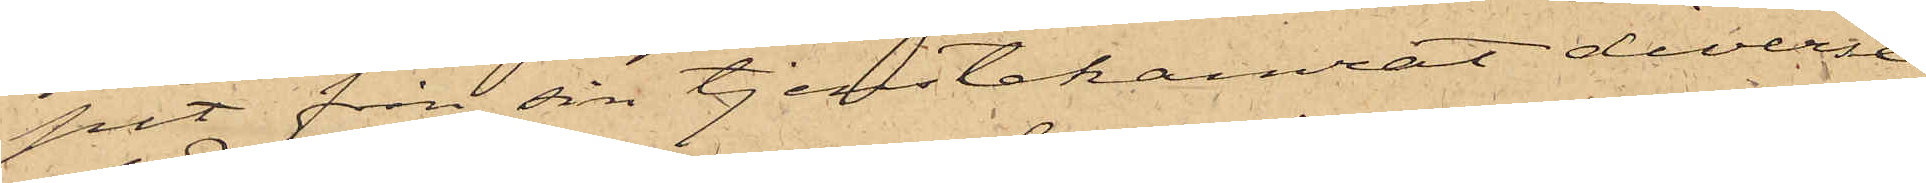pit från sin tjenstekamrat diverse
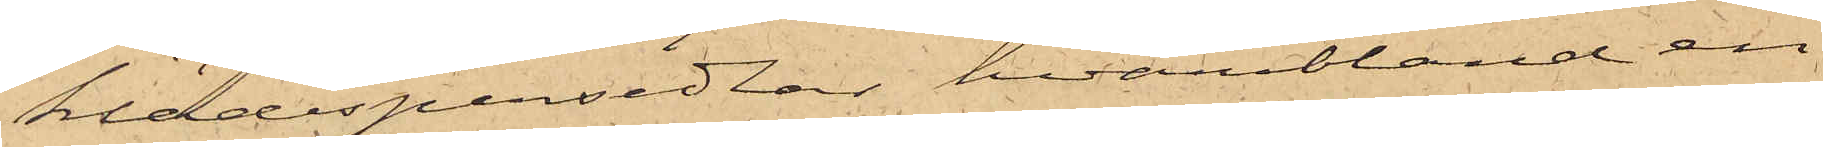klädespersedlar, hvaribland en
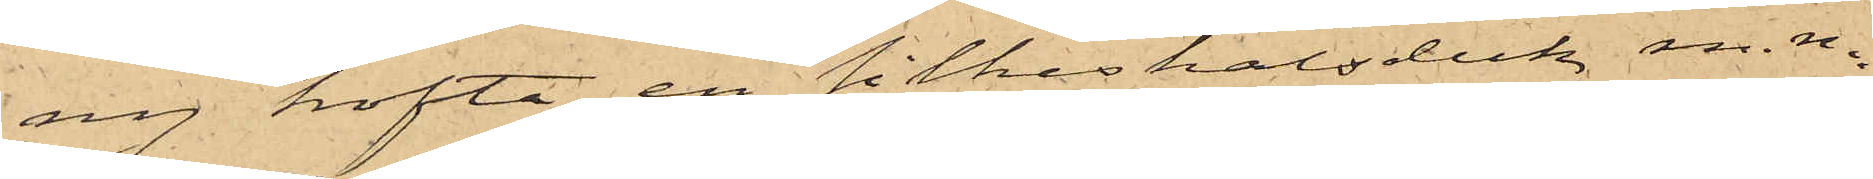ny kofta, en silkeshalsduk, m.m.
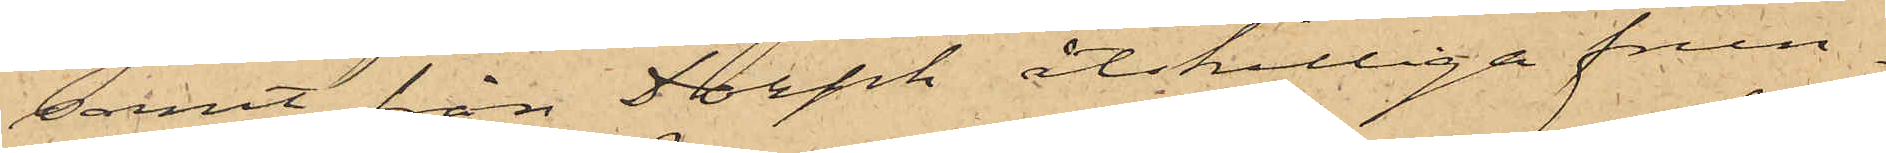samt från Dorph åtskilliga frun¬
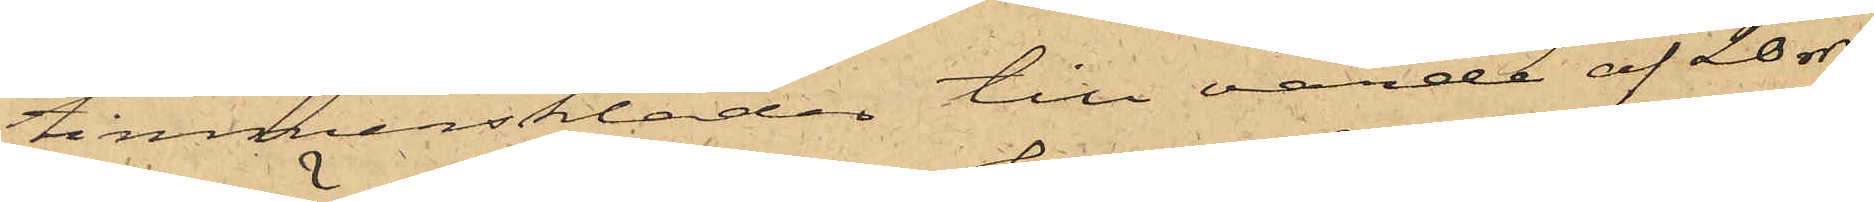timmerskläder till värde af 20 rdr,
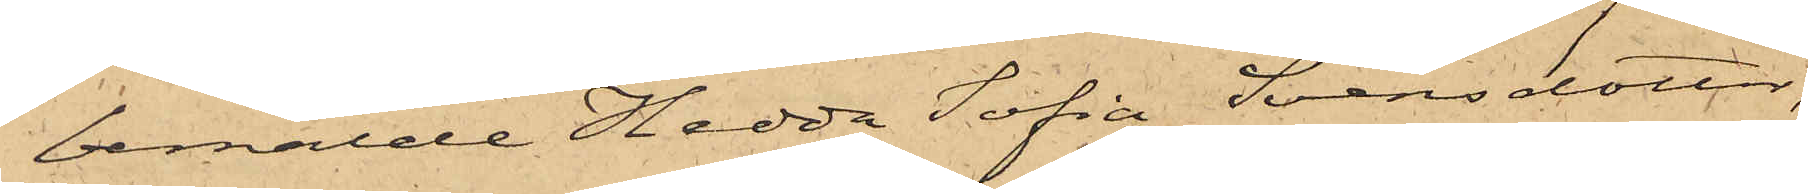bemälde Hedda Sofia Svensdotter,
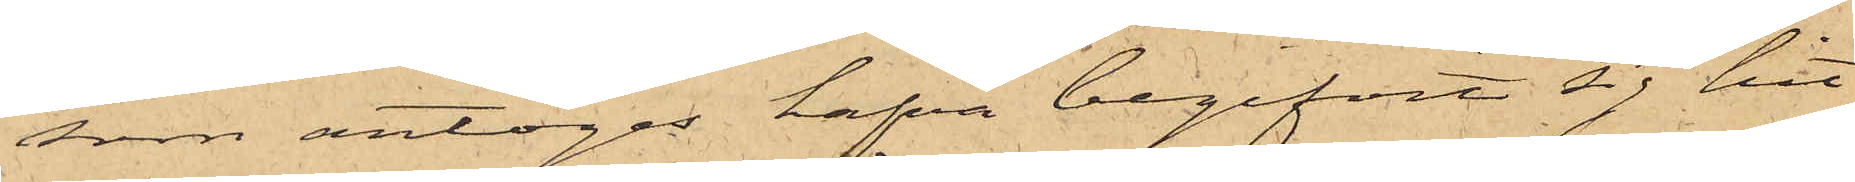som antoges hafva begifvit sig hit
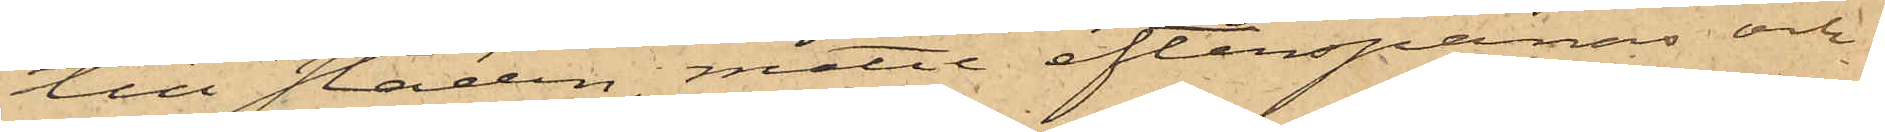till staden, måtte efterspanas och
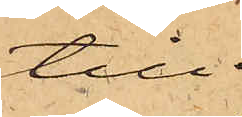till
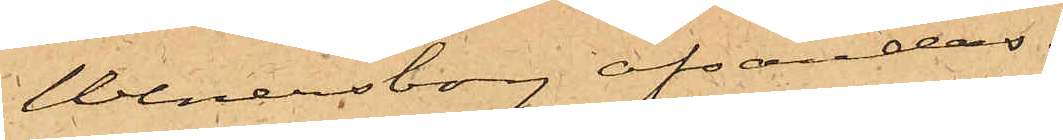Wenersborg afsändas.
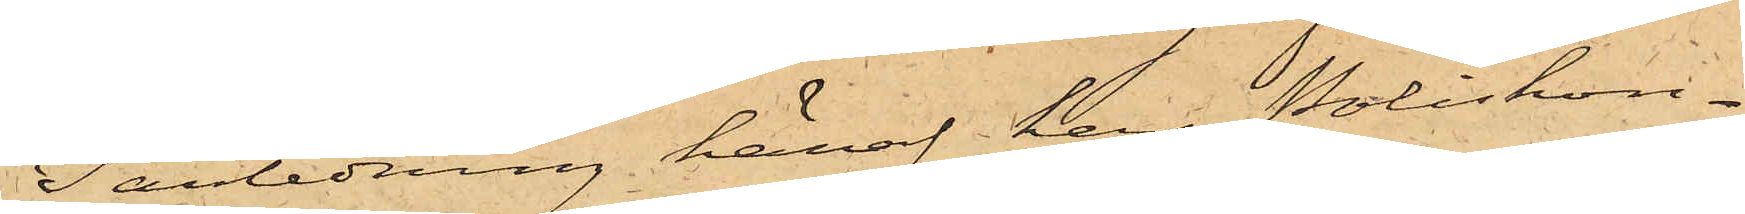I anledning häraf har Poliskon¬
